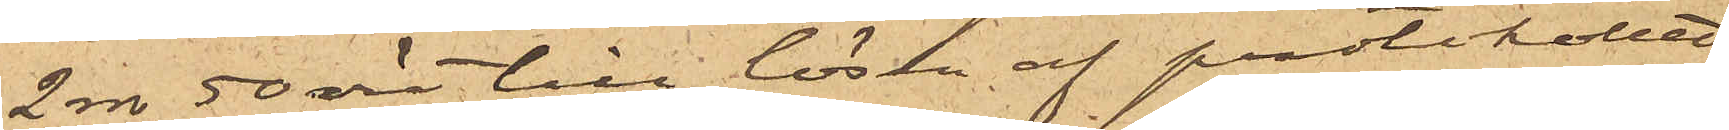2 rdr 50 öre till lösen af protokollet
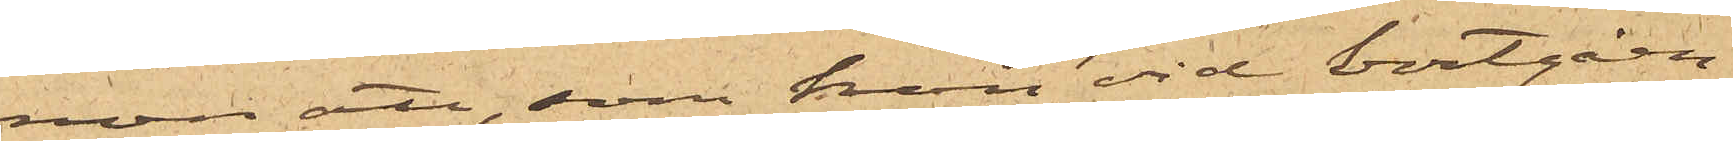men att, som han vid bortgåen¬
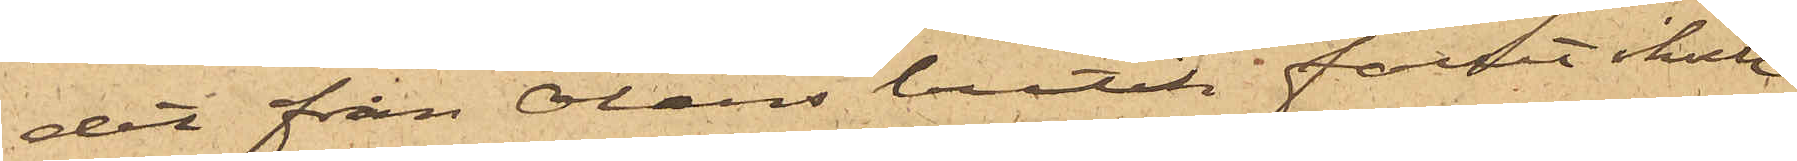det från Oláns butik fallit ikull
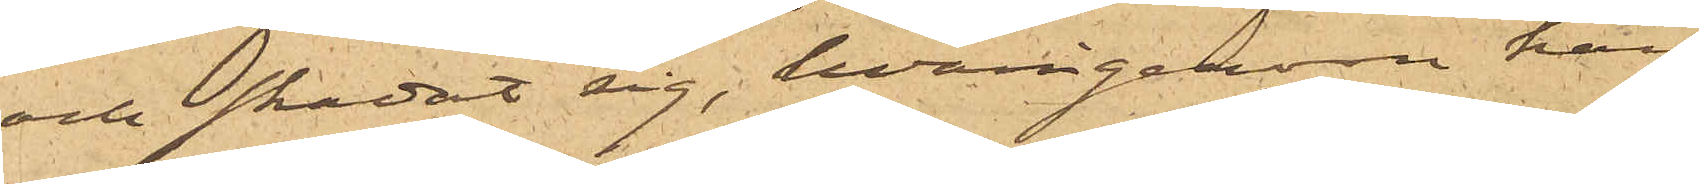och skadat sig, hvarigenom han
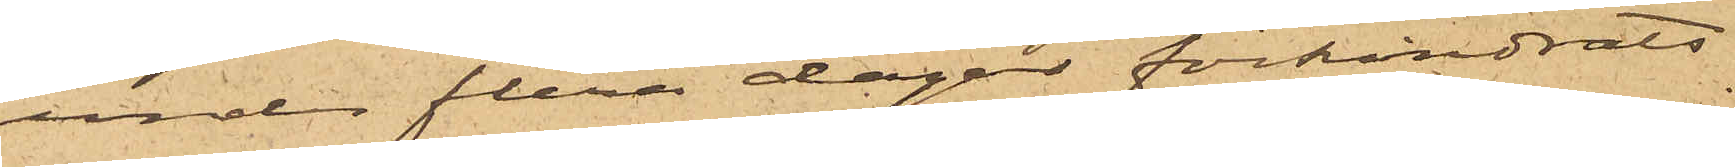under flera dagar förhindrats
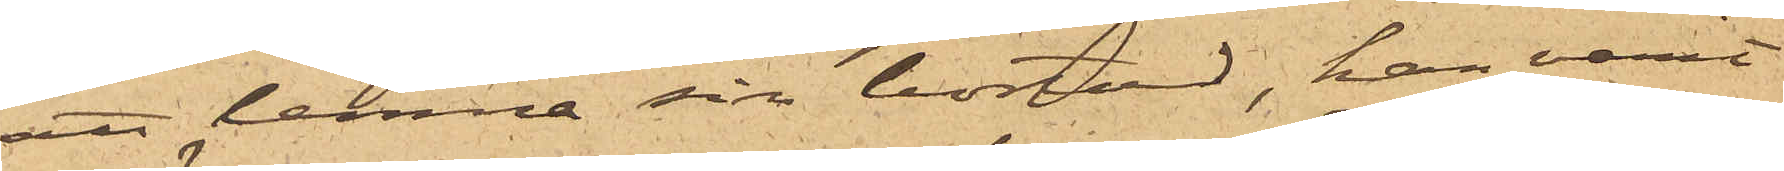att lemna sin bostad, han varit
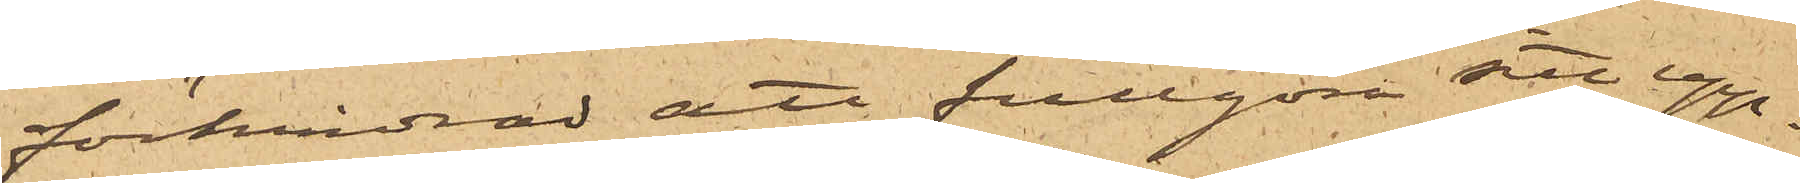förhindrad att fullgöra sitt upp¬
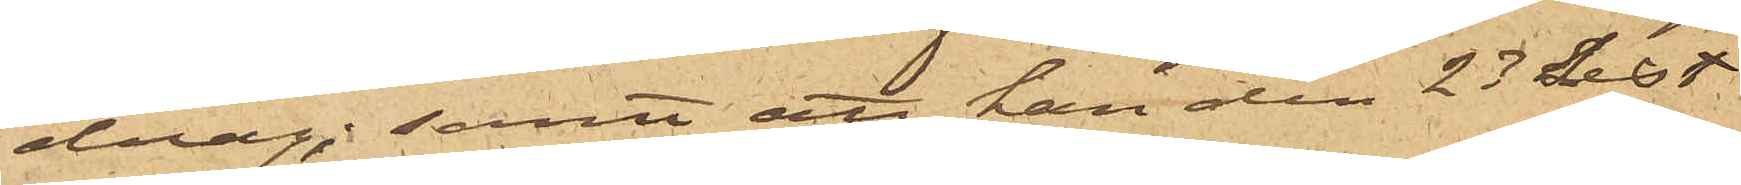drag; samt att han den 23 sist.
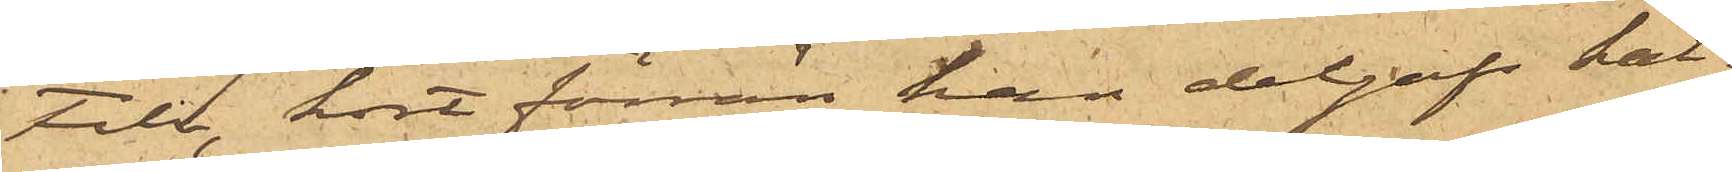Febr. kort förrän han delgafs kal¬
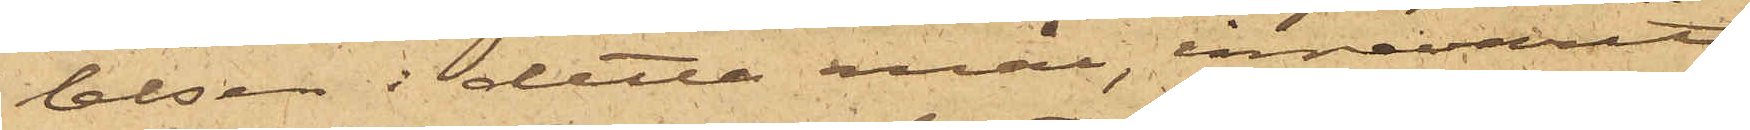lelsen i detta mål, innevarit
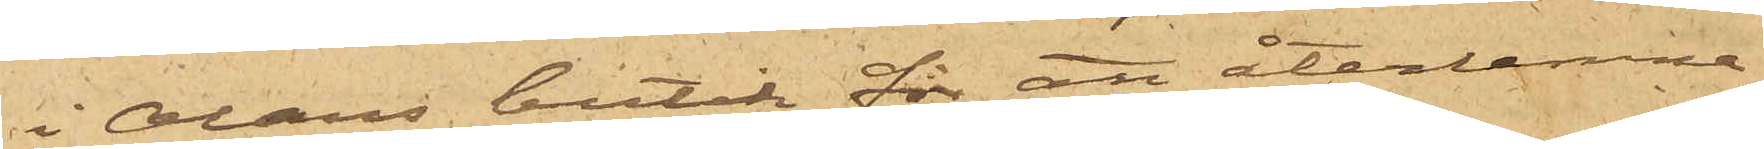i Oláns butik för att återlemna
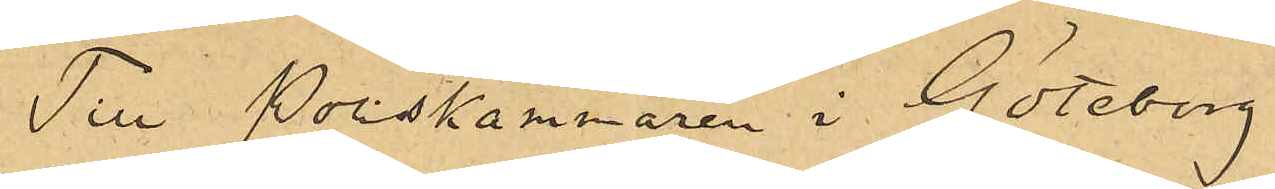Till Poliskammaren i Göteborg
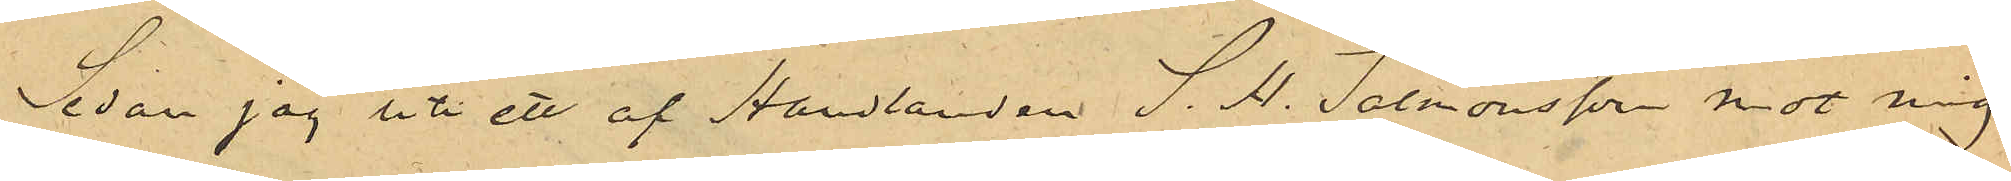Sedan jag uti ett af Handlanden S.H. Salmonsson mot mig
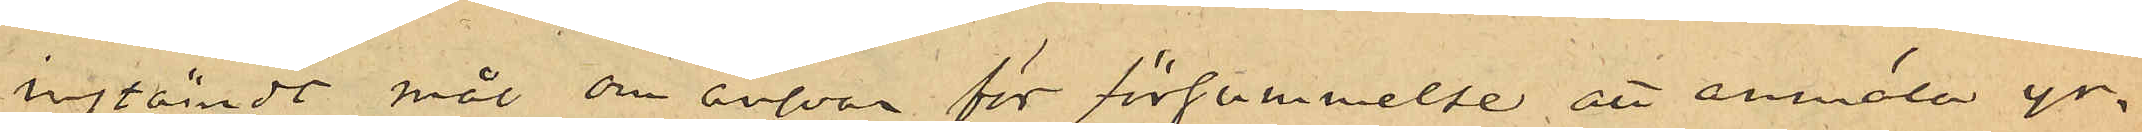instämdt mål om ansvar för försummelse att anmäla yr¬
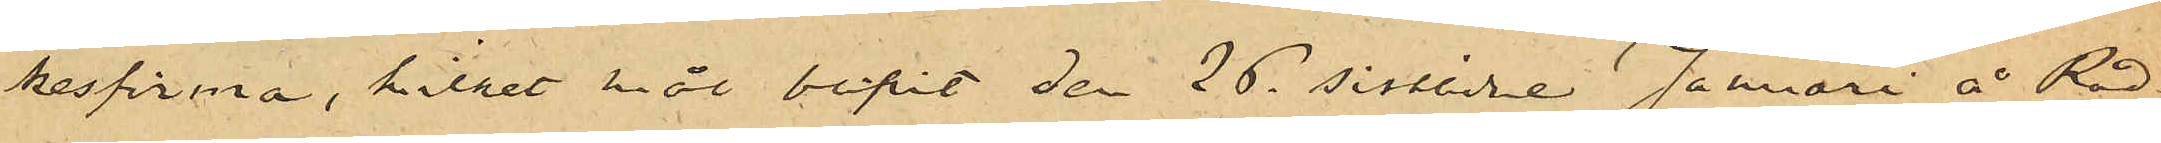kesfirma, hilket mål blivit den 26 sistlidne Januari å Råd¬
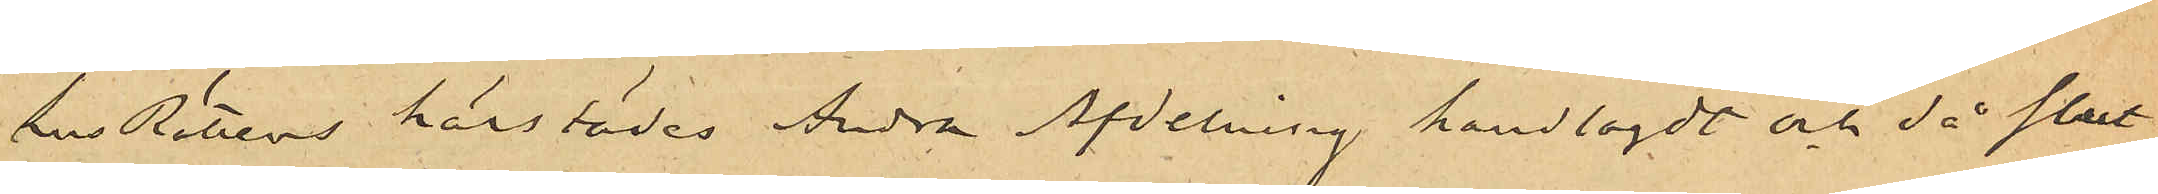hus Rettens härstädes Andra Afdelning handlagdt och då klart
